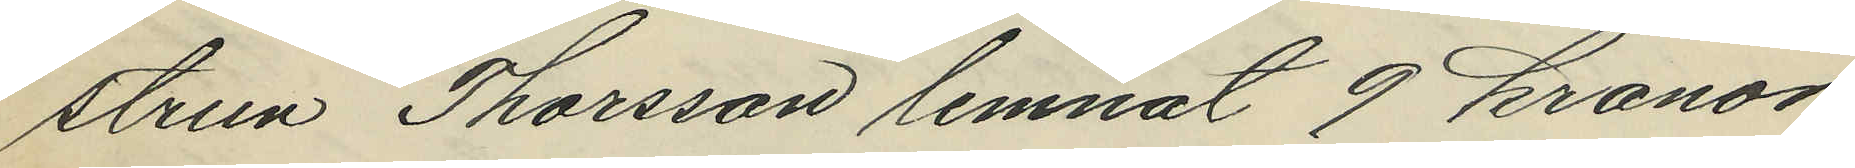strun Thorsson lemnat 9 kronor
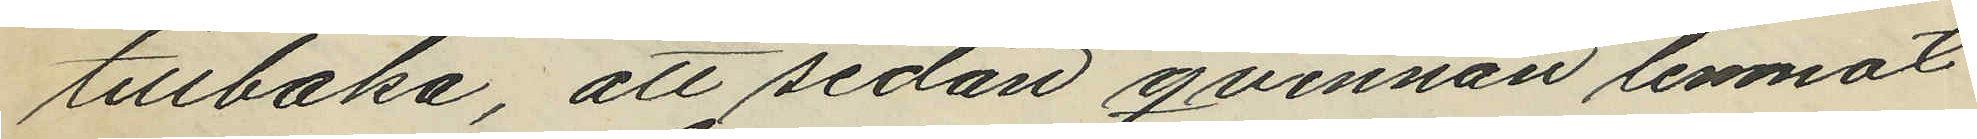tillbaka, att sedan qvinnan lemnat
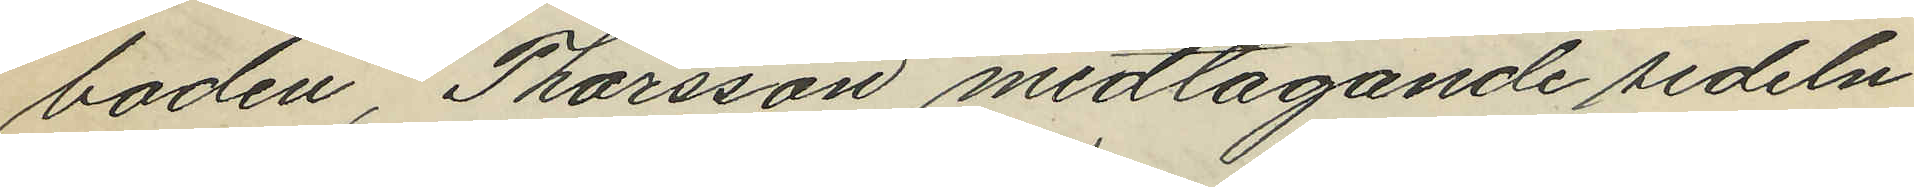boden, Thorsson medtagande sedeln
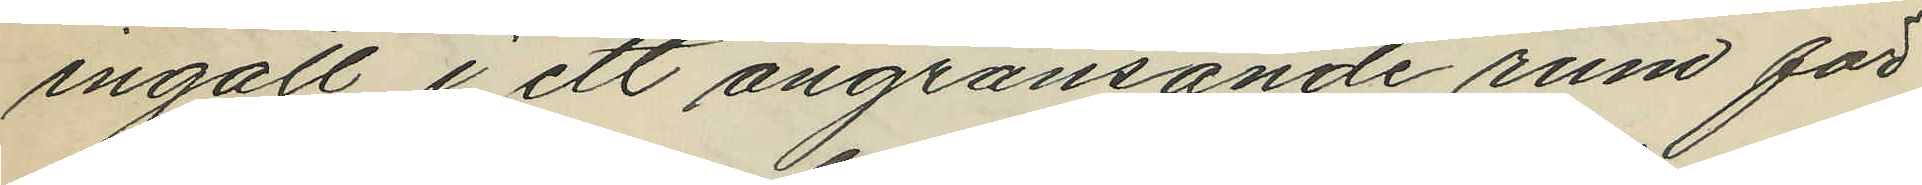ingått i ett angränsande rum för
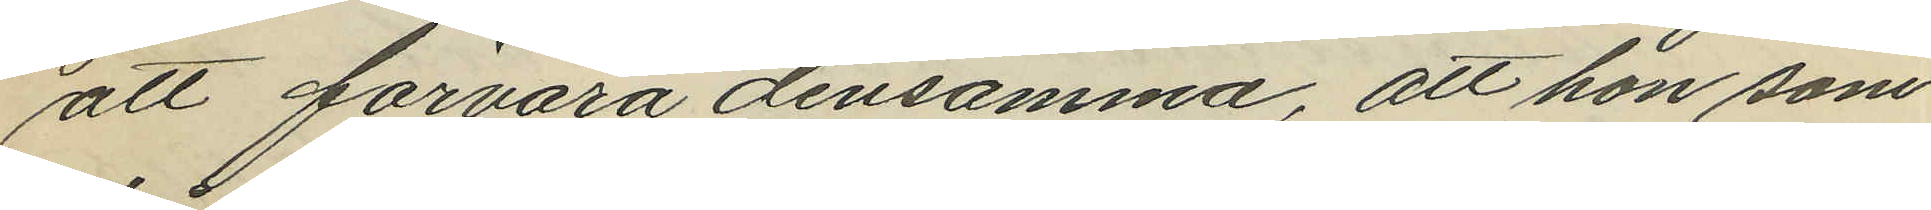att förvara densamma, att hon som
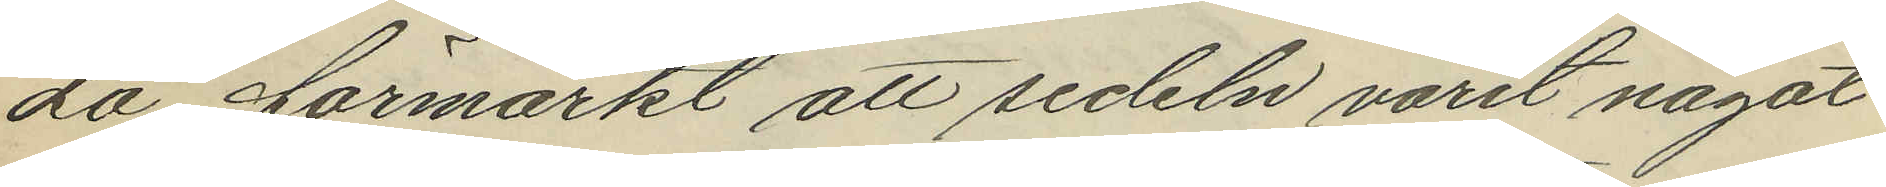då förmärkt att sedeln varit något
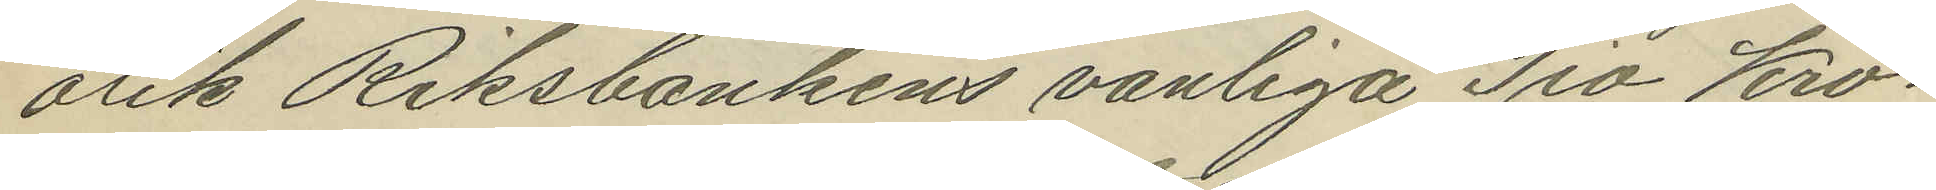olik Riksbankens vanliga Tio Kro¬
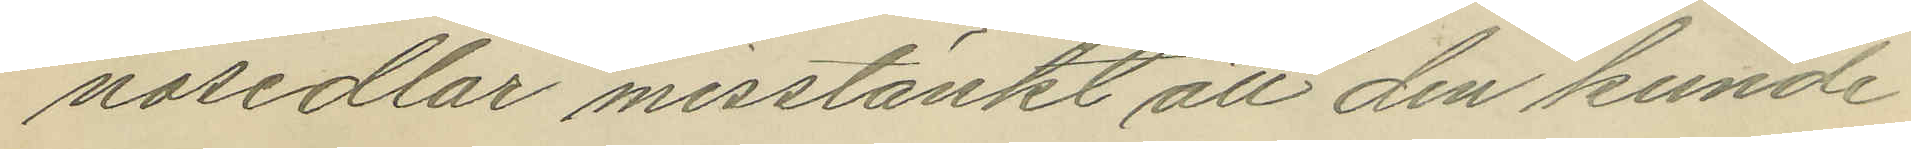nosedlar misstänkt, att den kunde
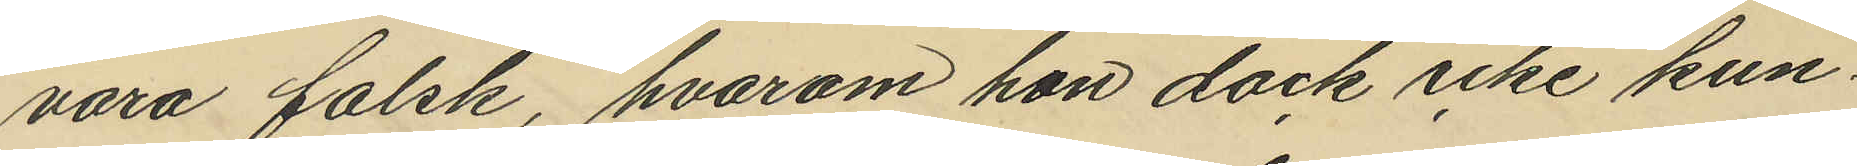vara falsk, hvarom hon dock icke kun¬
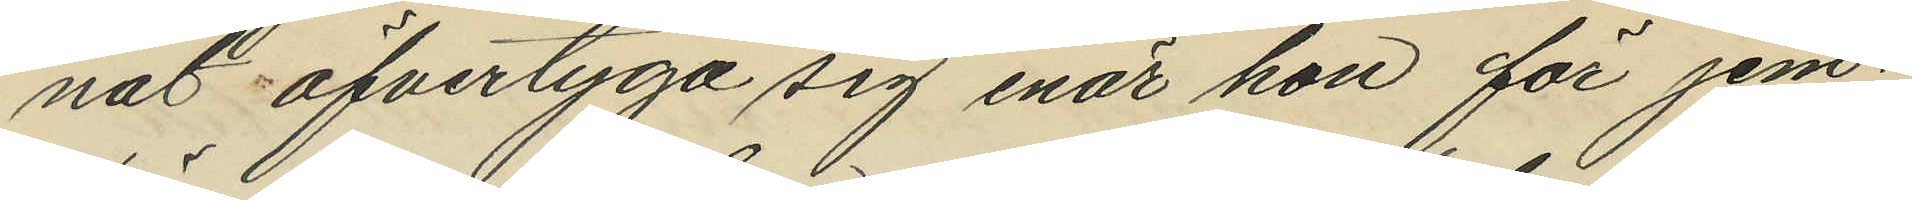nat öfvertyga sig enär hon för jem¬
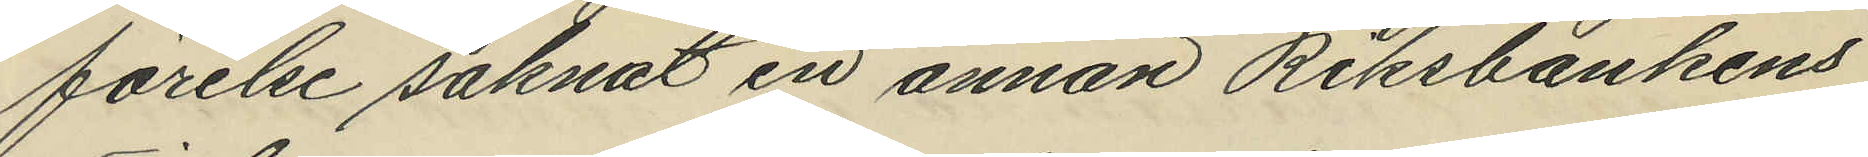förelse saknat en annan Riksbankens
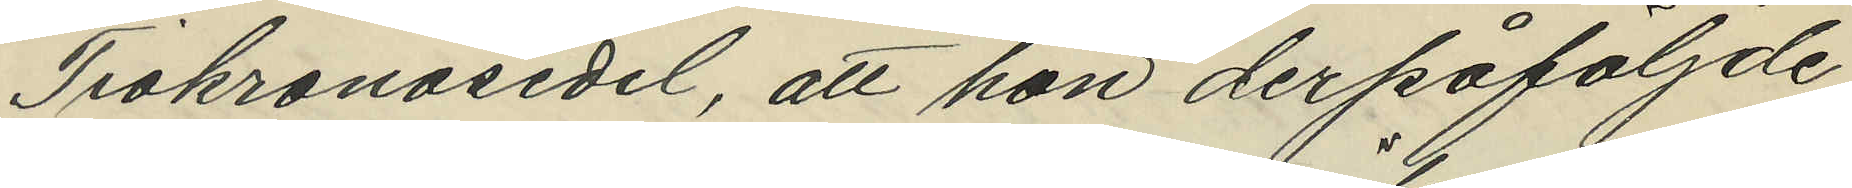Tiokronosedel, att hon derpåföljde
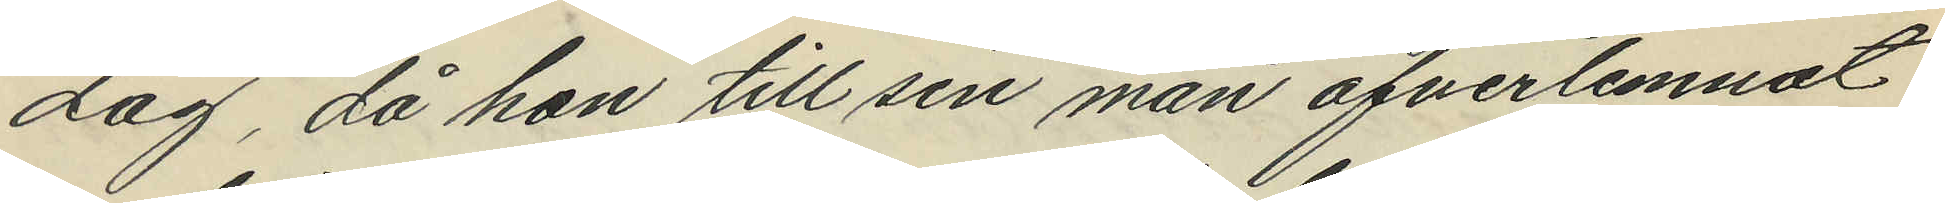dag, då hon till sin man öfverlemnat
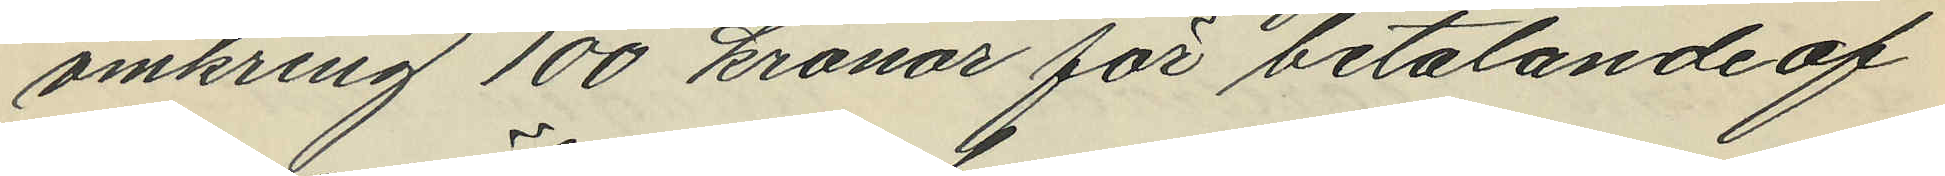omkring 100 kronor för betalande af
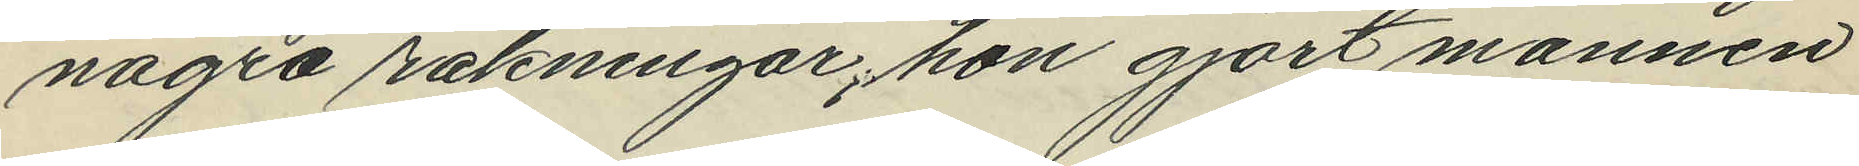några räkningar, hon gjort mannen
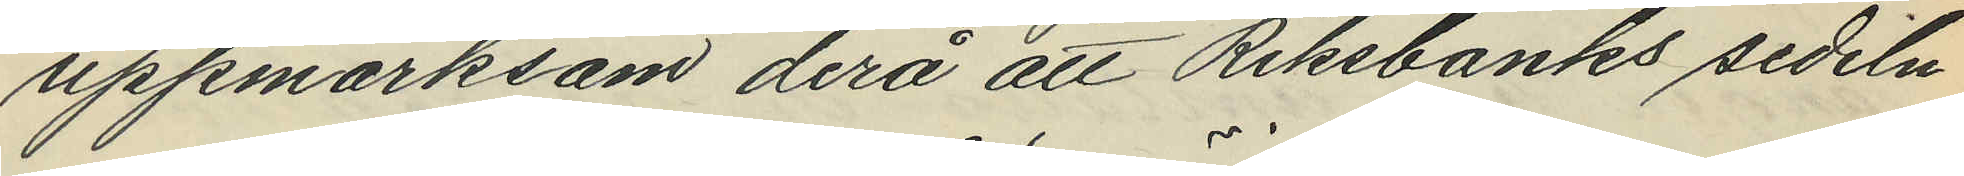uppmärksam derå att Riksbanks sedeln
